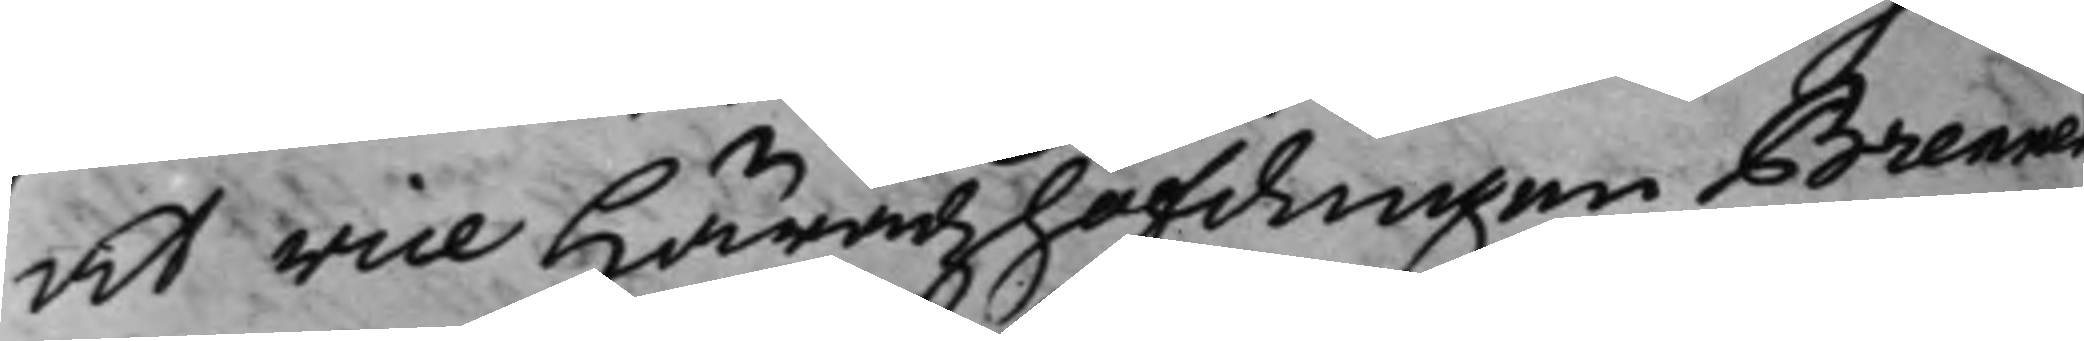at vice Häradshöfdingen Brenner
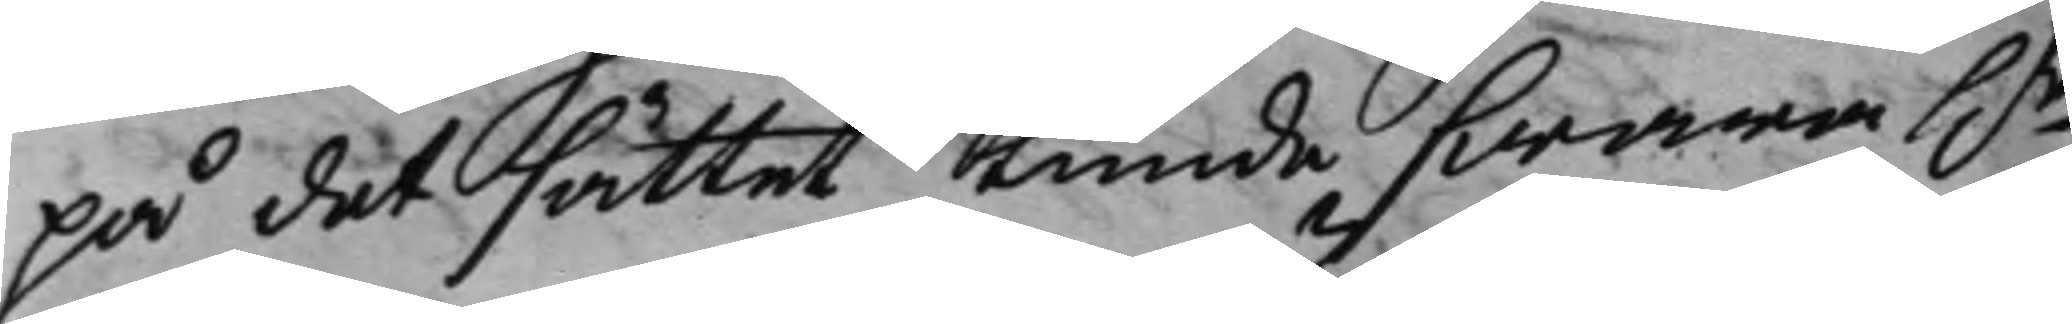på det sättet kunde swara h.r
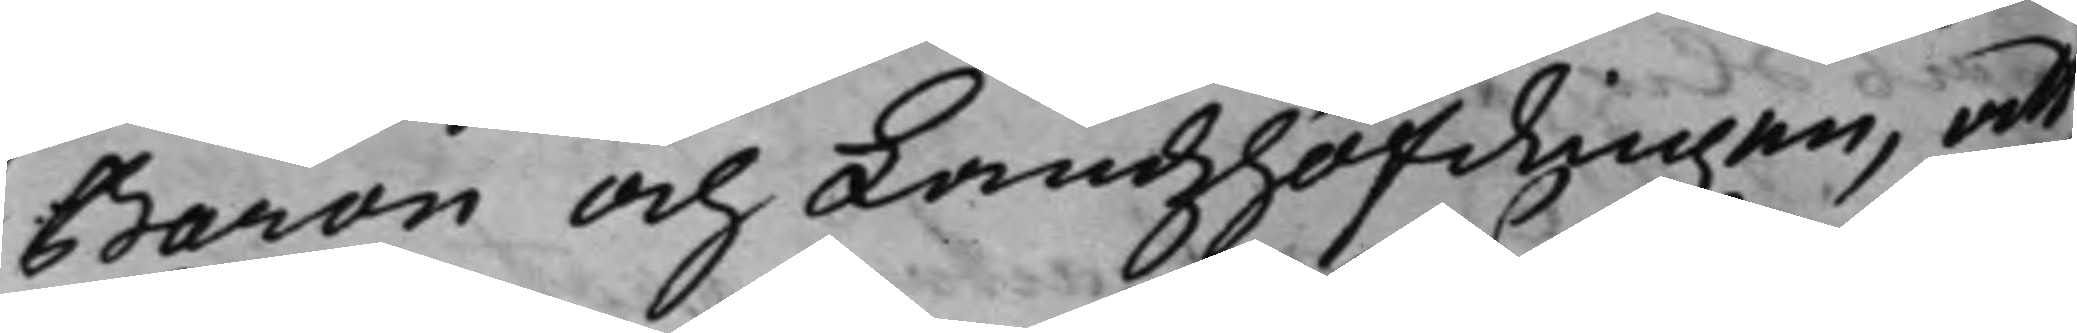Baron och Landzhöfdingen, att,
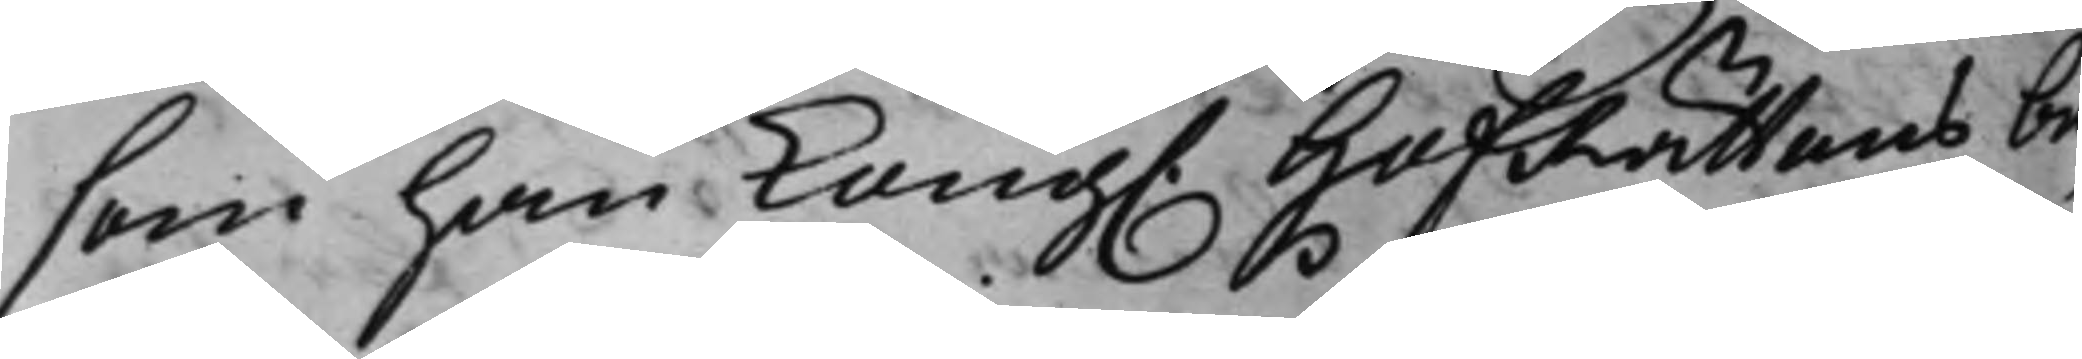som han Kong. HofRättens be¬
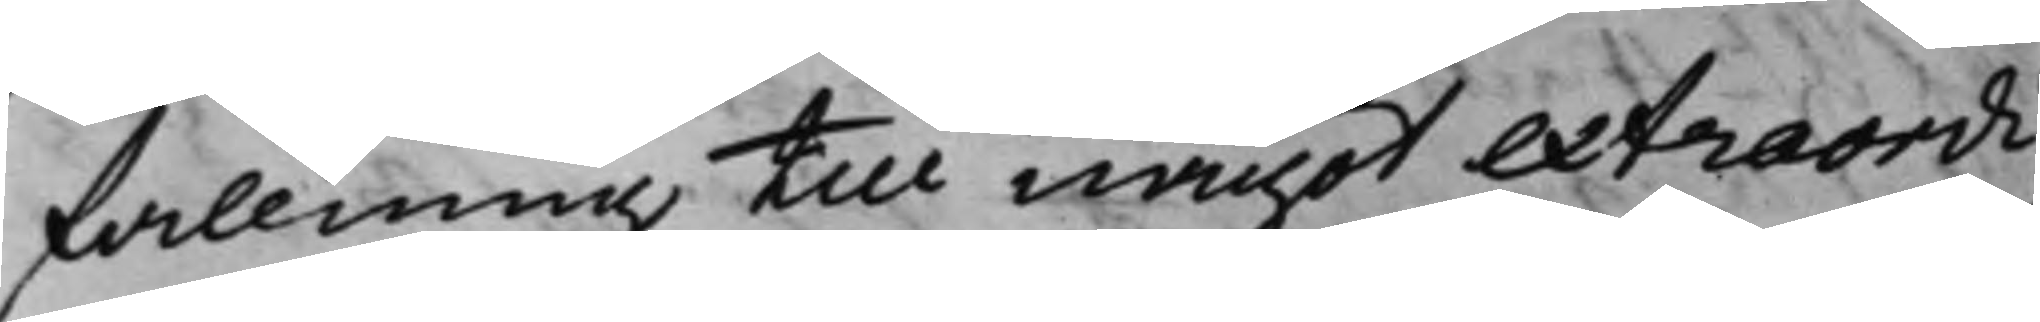fallning till något extraordi¬
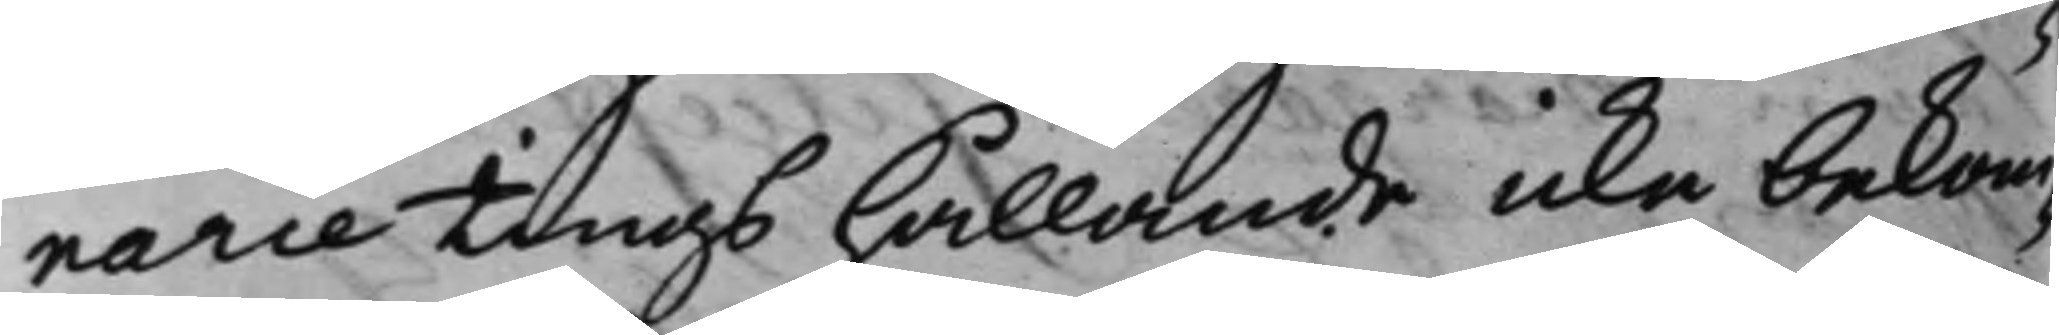narie tings hållande icke bekom¬
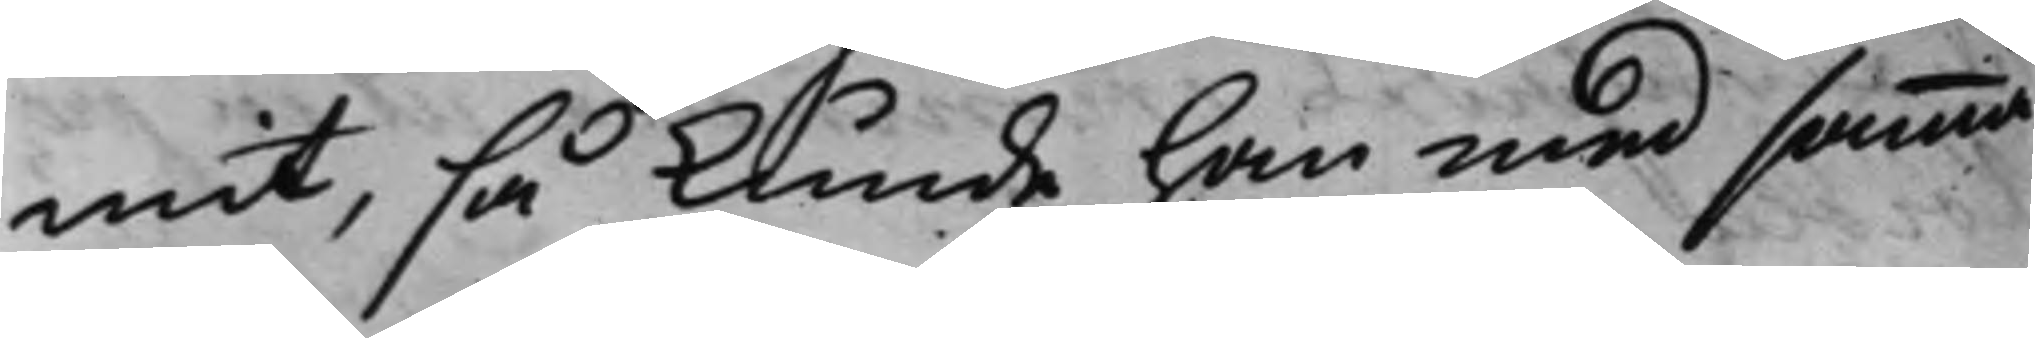mit, så kunde han med samma
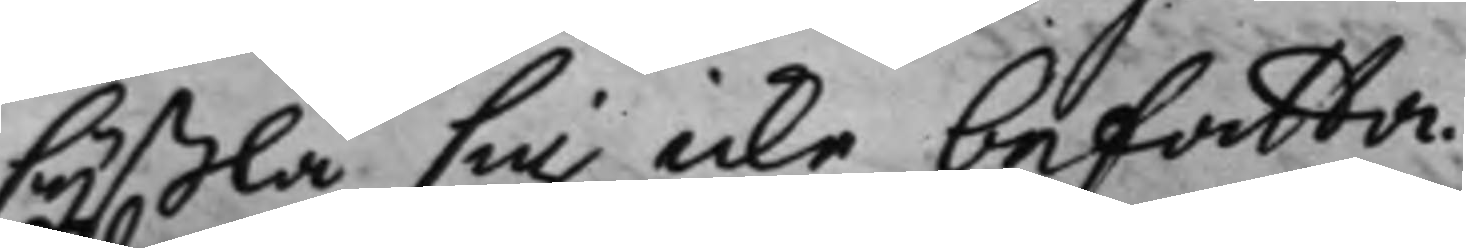syßla sig icke befatta.
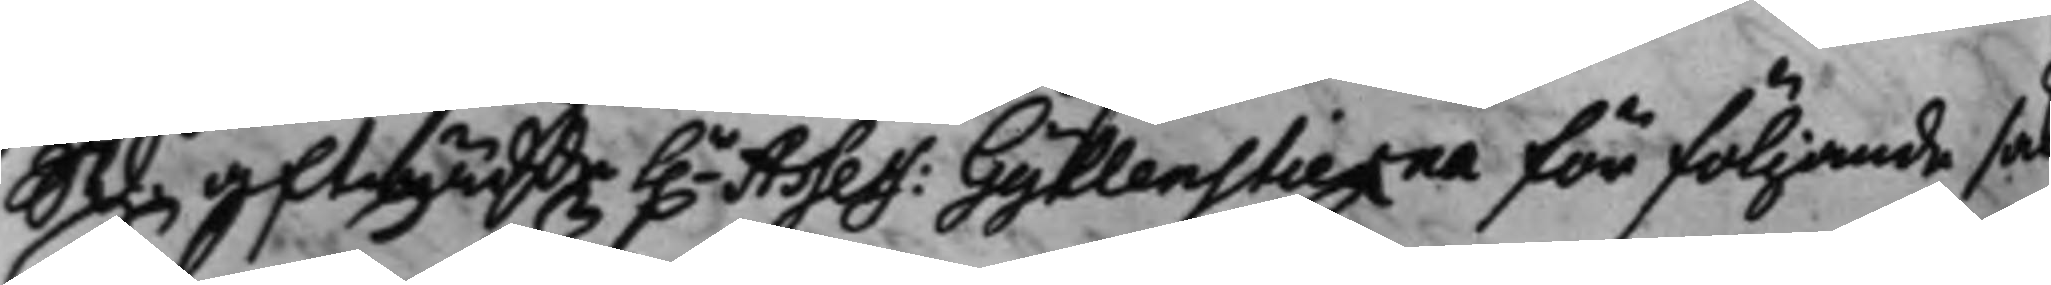S d. afträdde h.r Assess: Gyllenstierna för följande sak
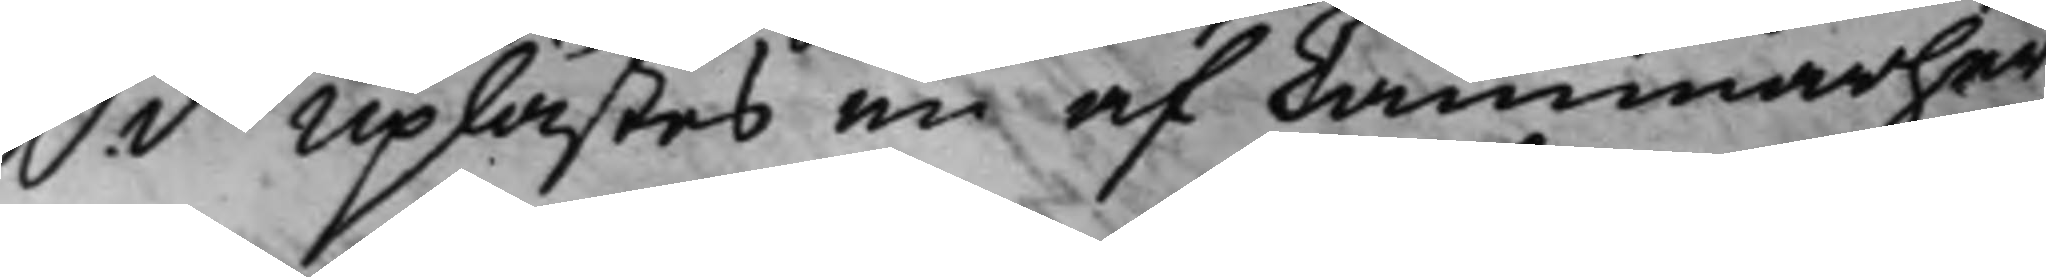S. d. Uplästes en af Cammarher¬
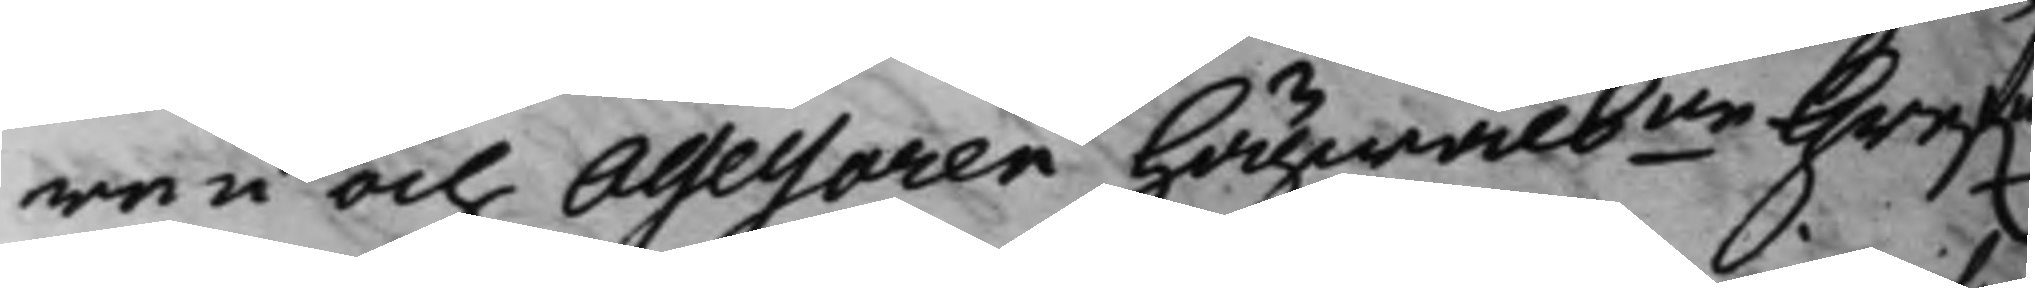ren och Assessoren Högwälb.ne Gref.e
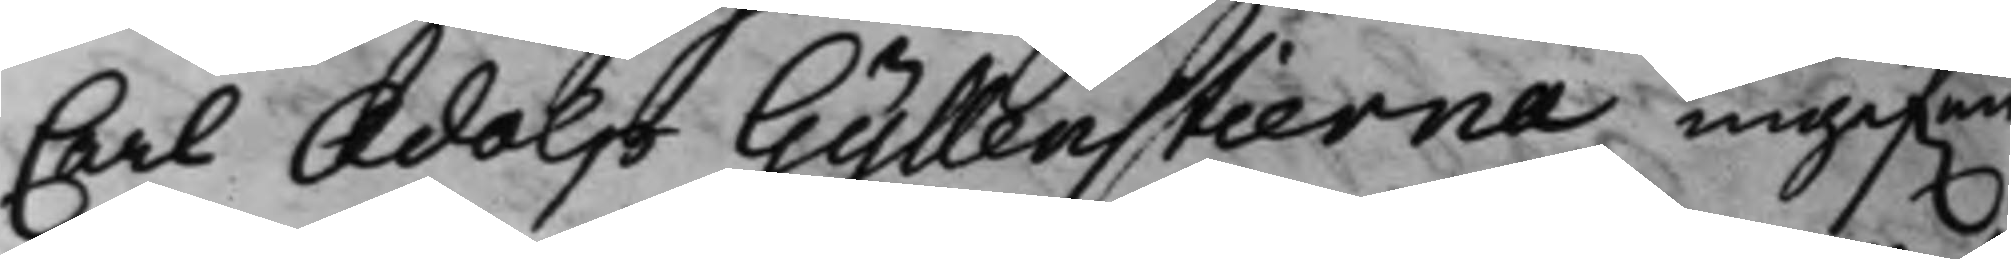Carl Adolp Gyllenstierna ingif.en
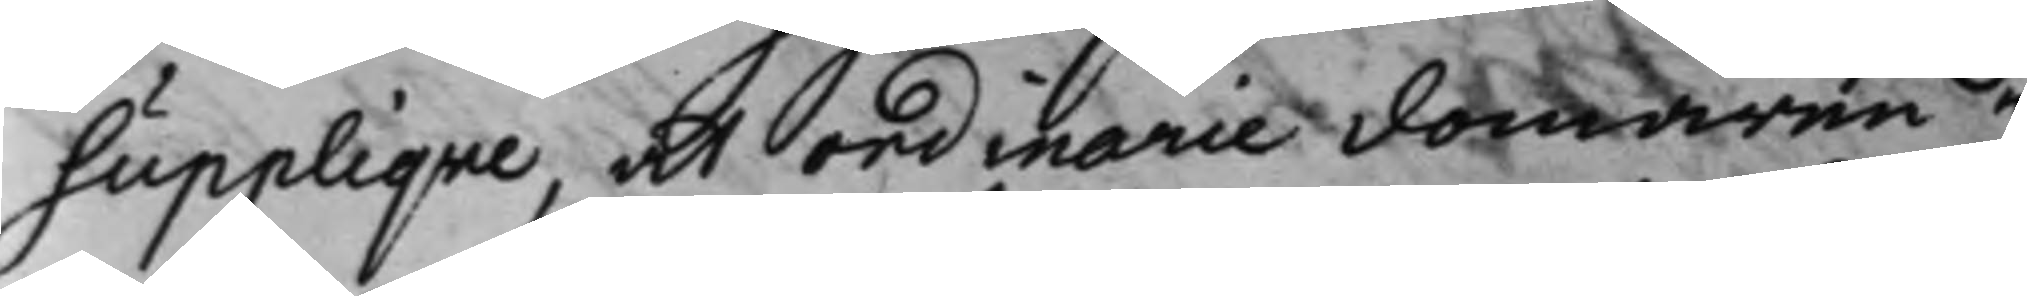Suppliqve, att ordinarie domaren i
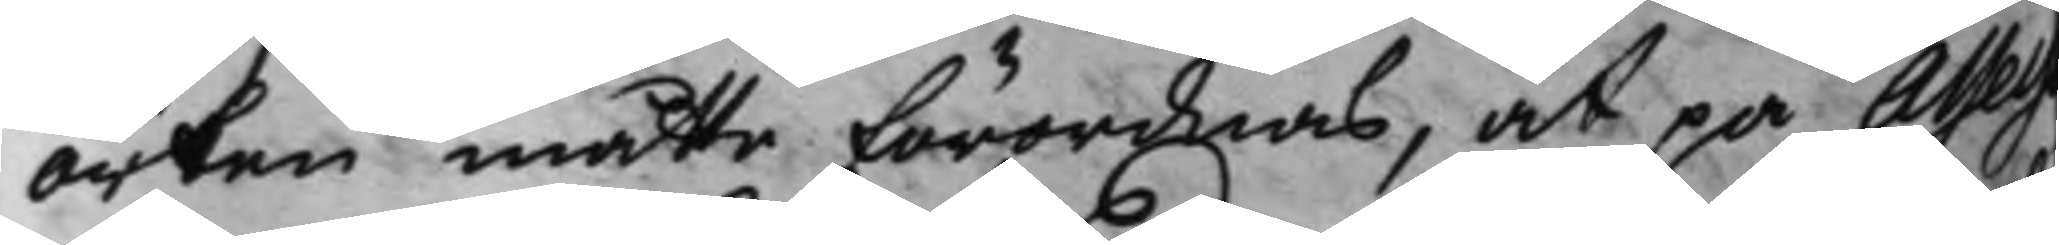orten måtte förordnas, at på Assesso¬
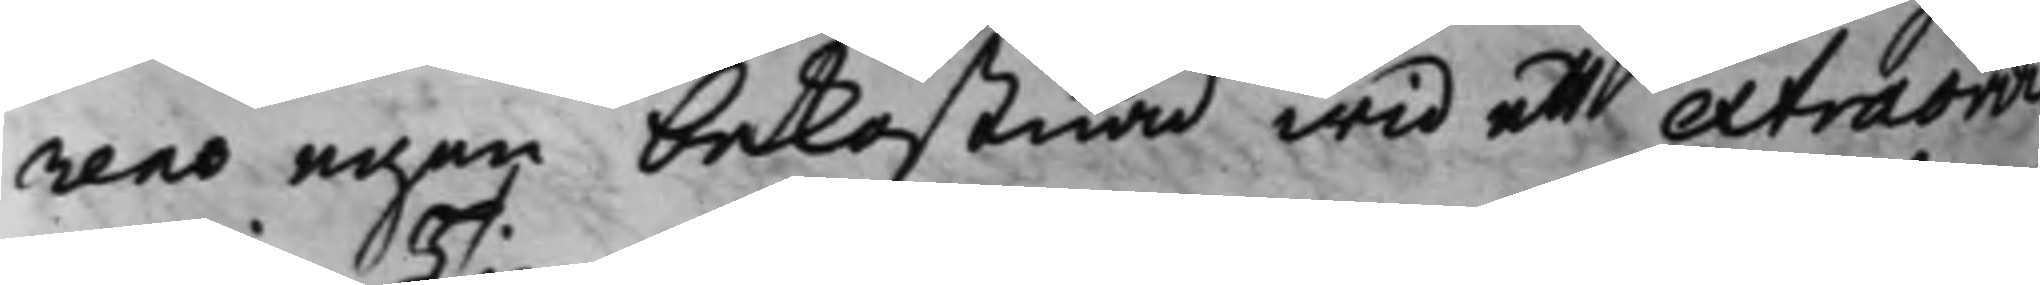rens egen bekostnad wid ett extraordi¬
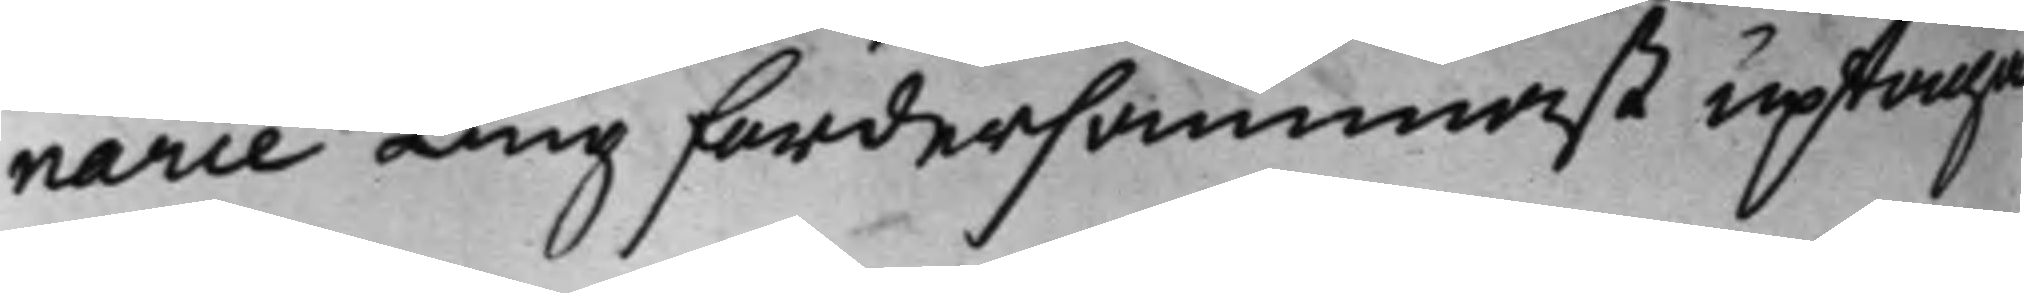narie Ting fordersammast uptaga
